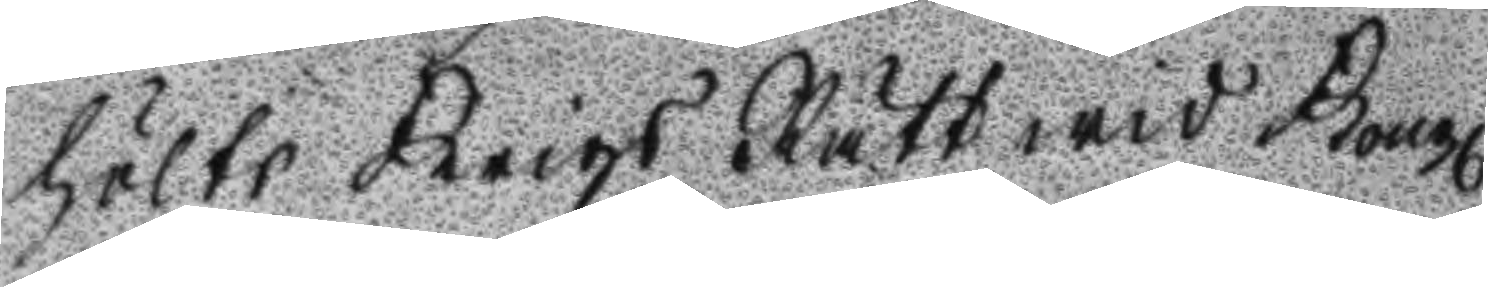hölts Krigs Rätt wid Kongl
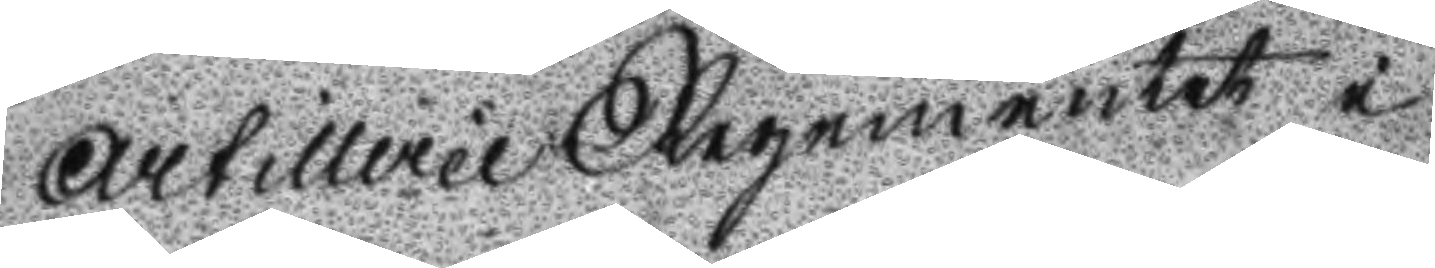Artillerie Regementet i
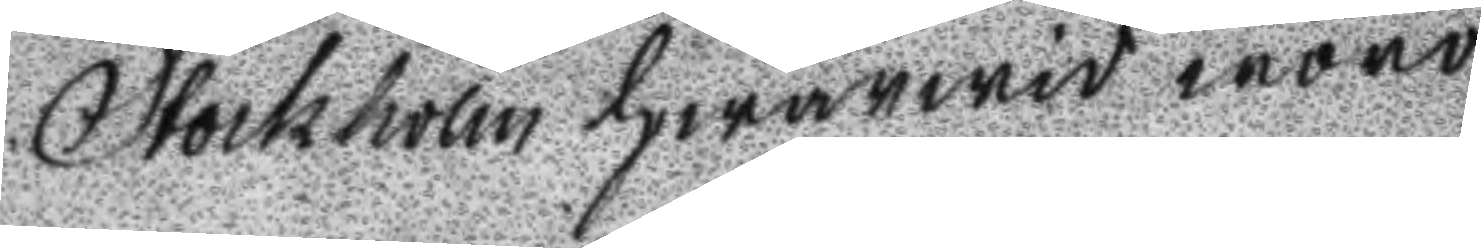Stockholm hwarwid woro
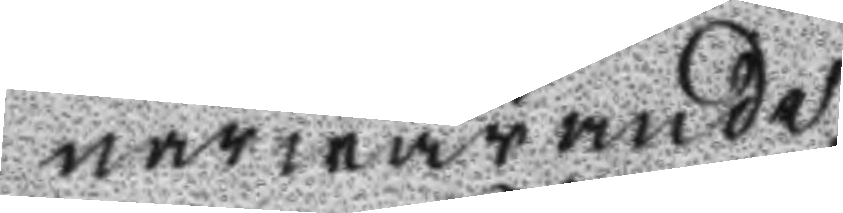narwarande
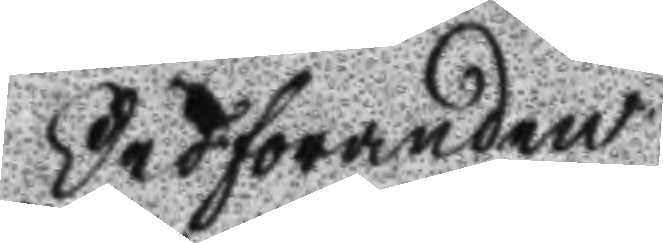Ordföranden
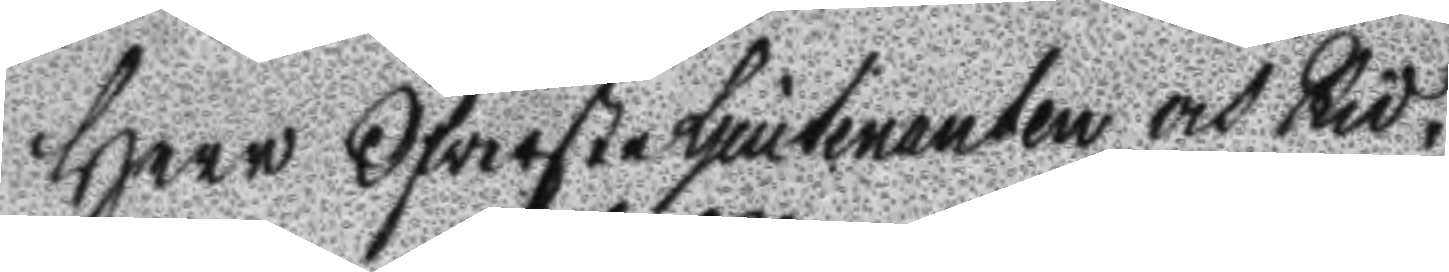Herr Ofwerste Ljeutenanten och Rid¬
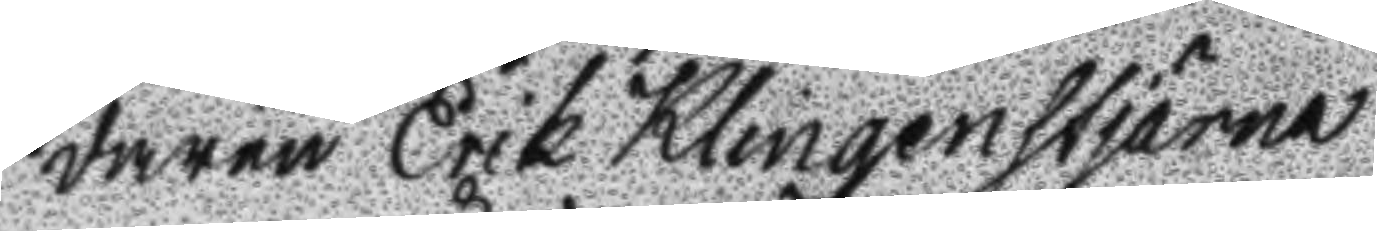daren Erik Klingenstjärna
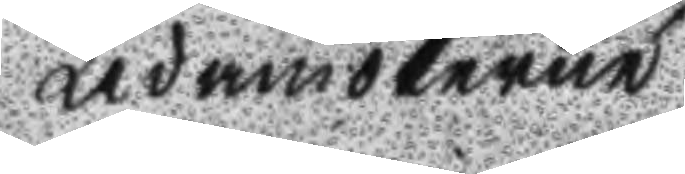Ledamöterne
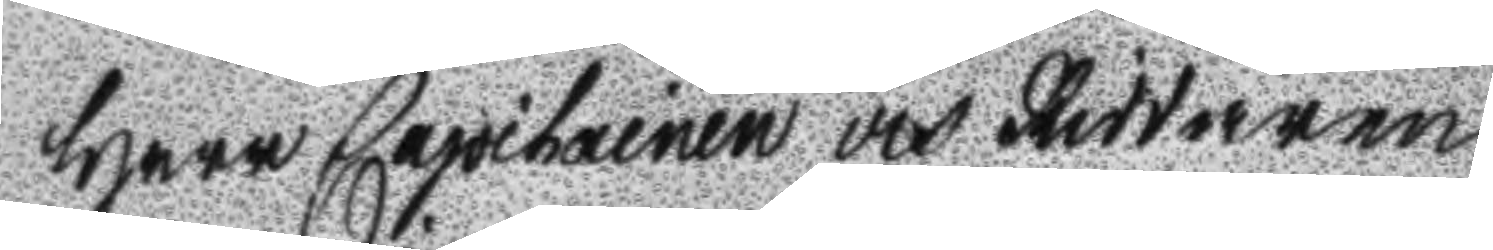Herr Capitainen och Riddaren
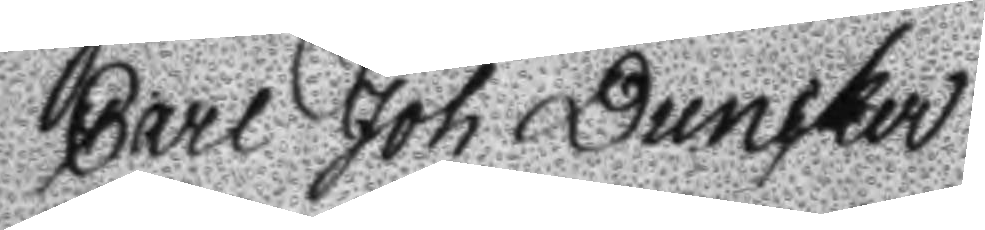Carl Joh Duncker
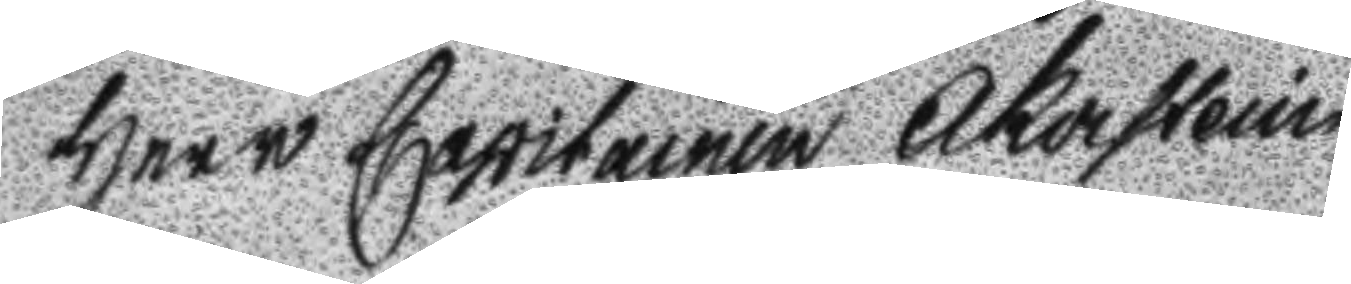Herr Capitainen Åkerstein
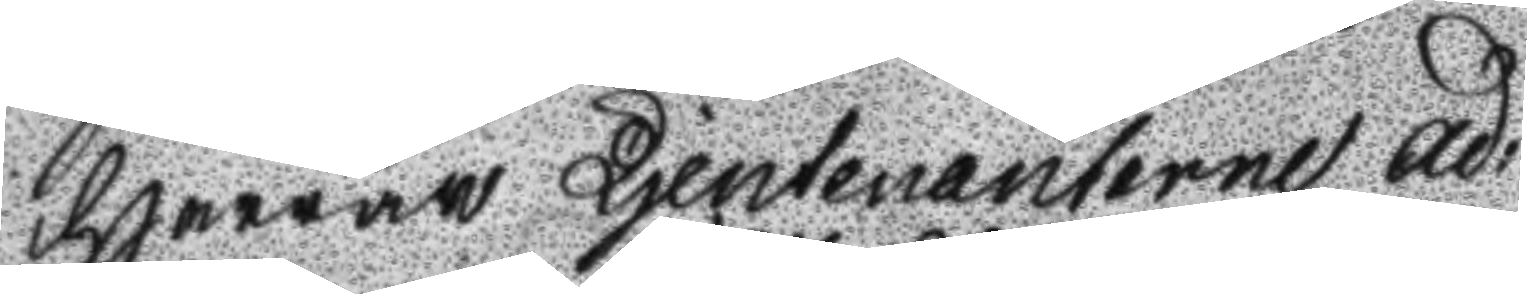Herrar Ljeutenanterne ad:
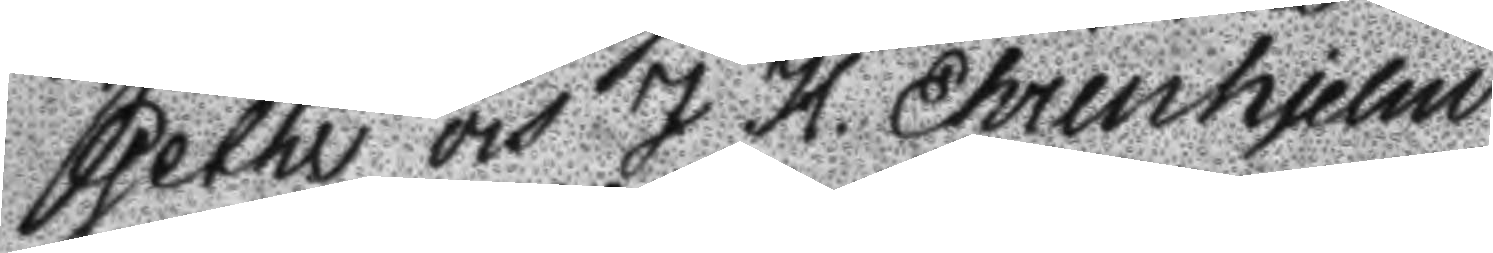Gethe och J H. Ehrenhjelm
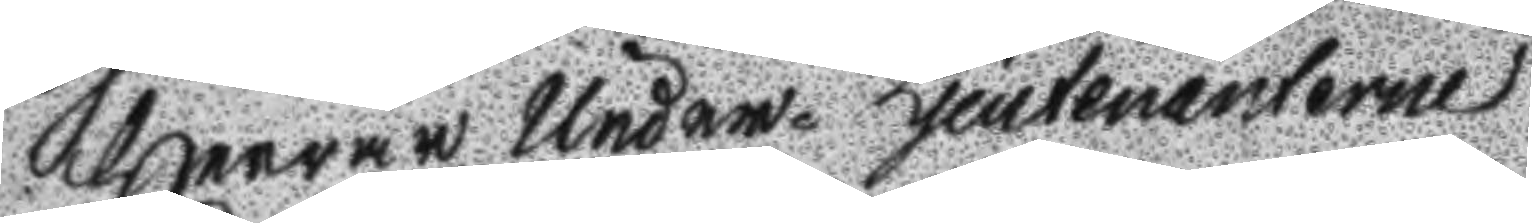Herrar Under- Ljeutenanterne
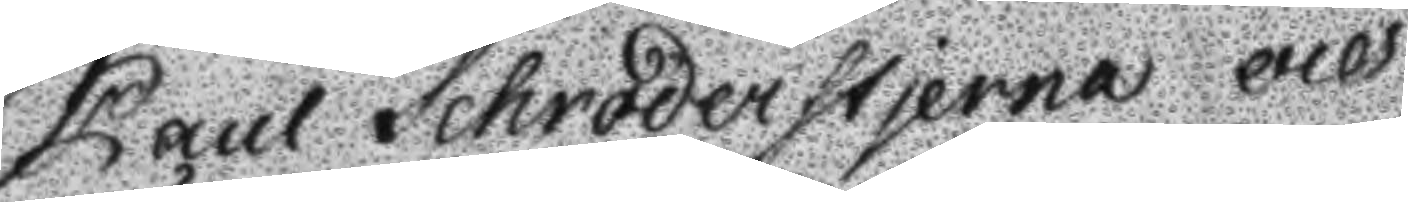Paul Schröderstjerna och 
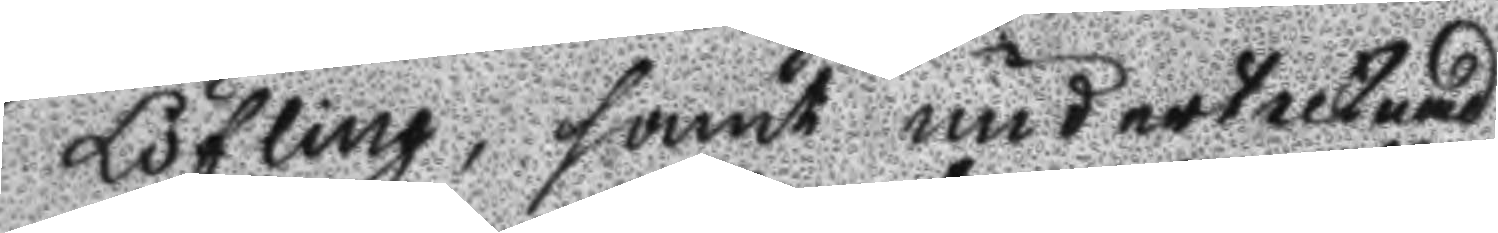Löfling, samt undertecknad
